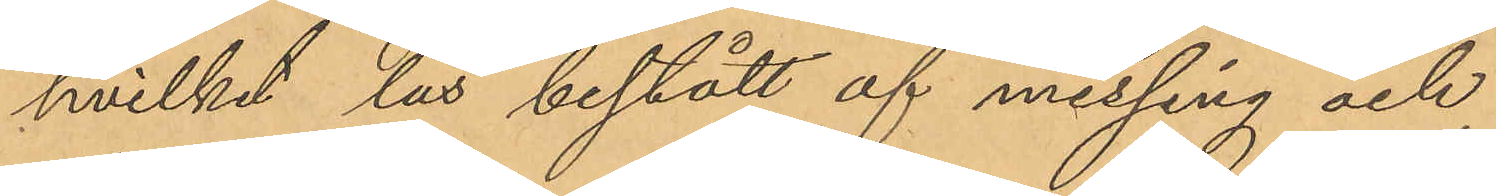hvilket lås bestått af messing och
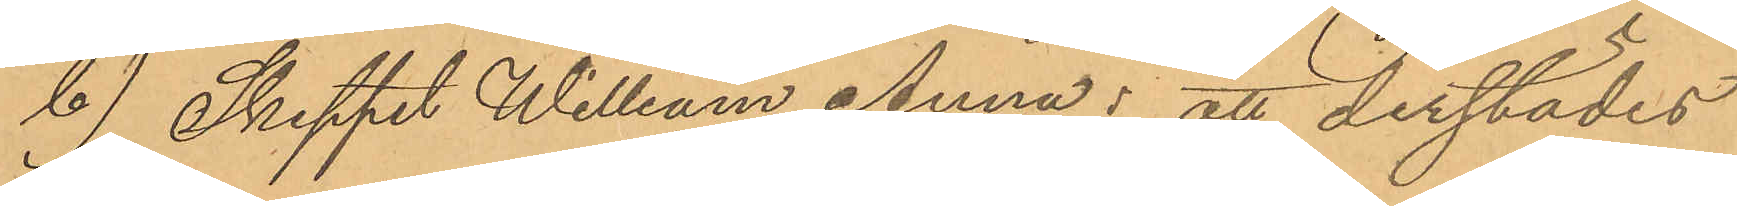b) Skeppet William Anna: att derstädes
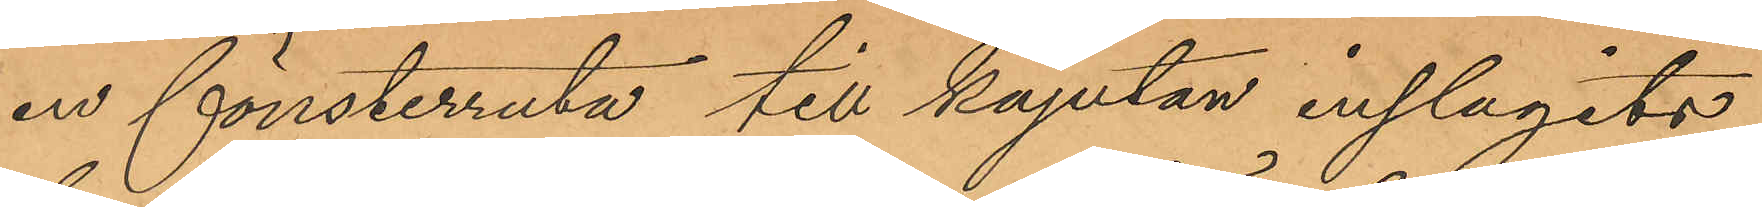en fönsterruta till kajutan inslagits,
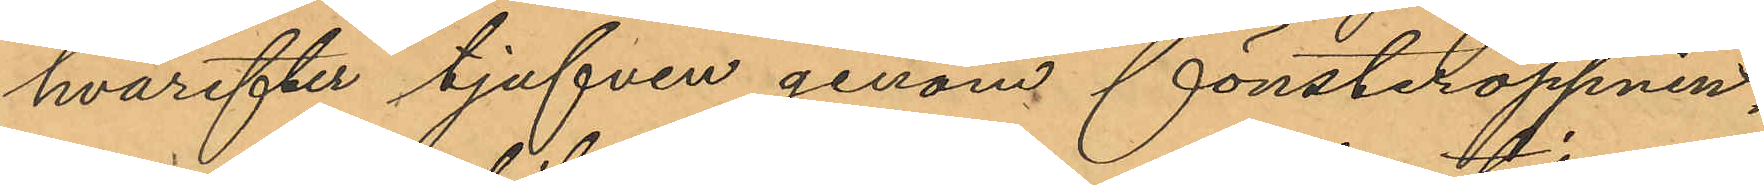hvarefter tjufven genom fönsteröppnin¬
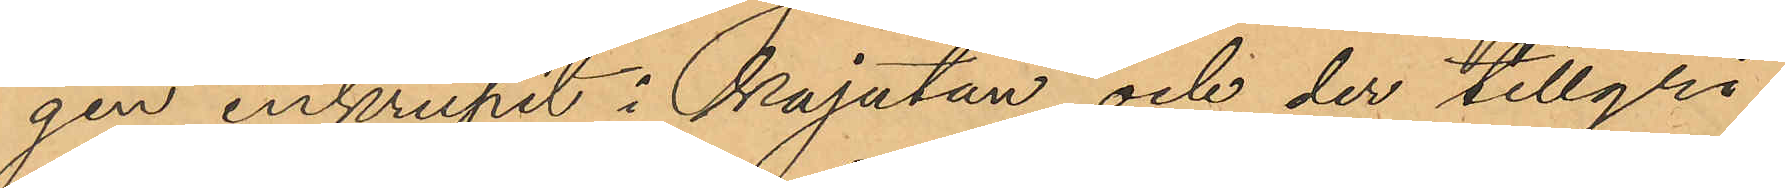gen inkrupit i kajutan och der tillgri¬
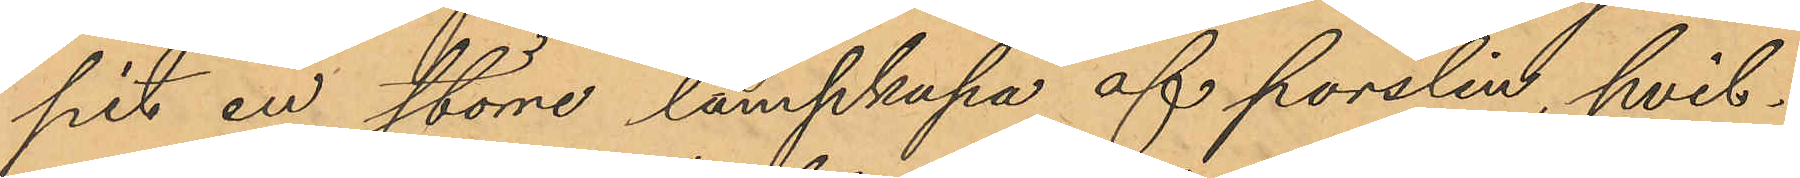pit en större lampkupa af porslin, hvil¬
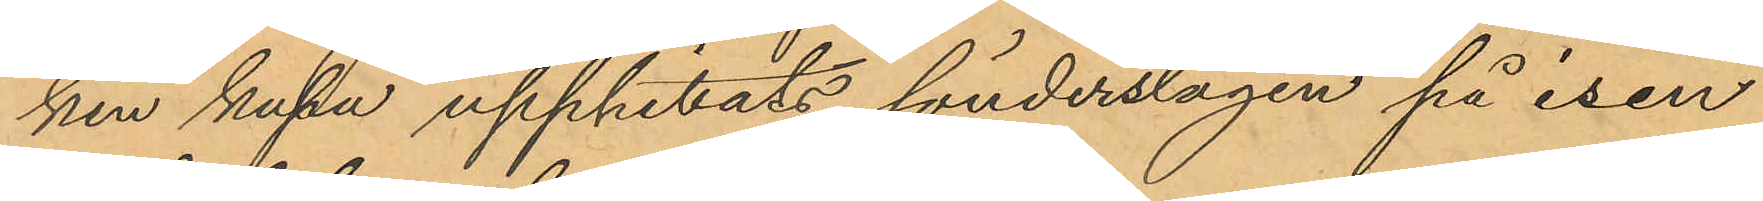ken kupa upphittats sönderslagen på isen
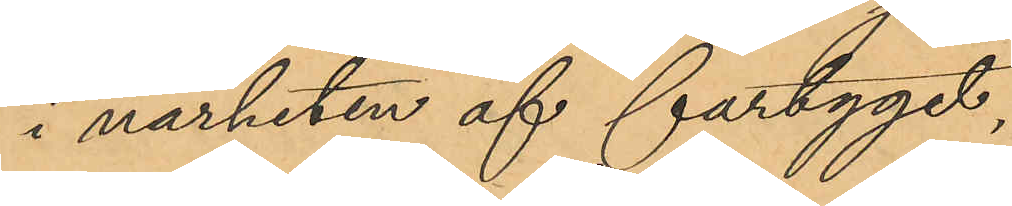i närheten af fartyget,
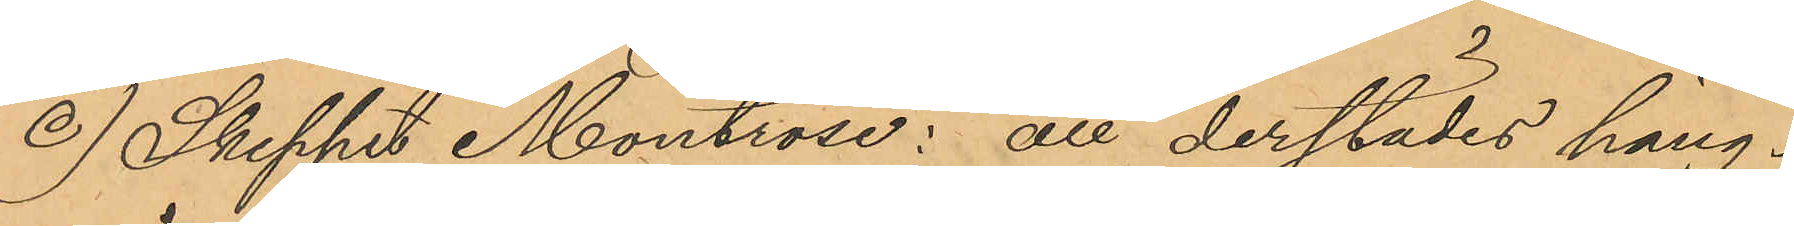c) Skeppet Montrose: att derstädes häng¬
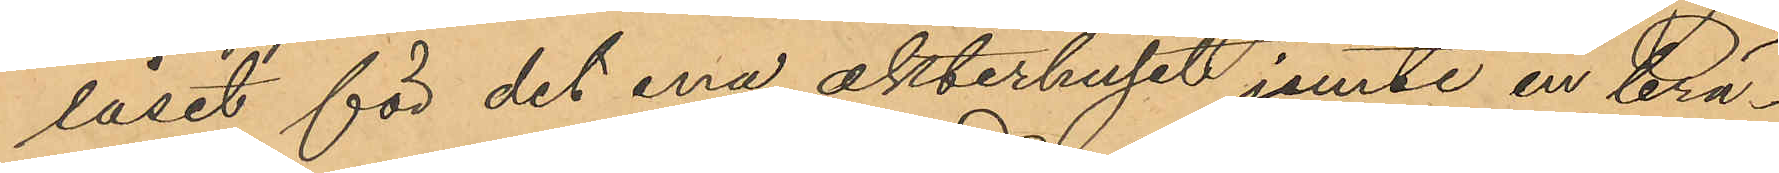låset för det ena akterhuset jemte en brä¬
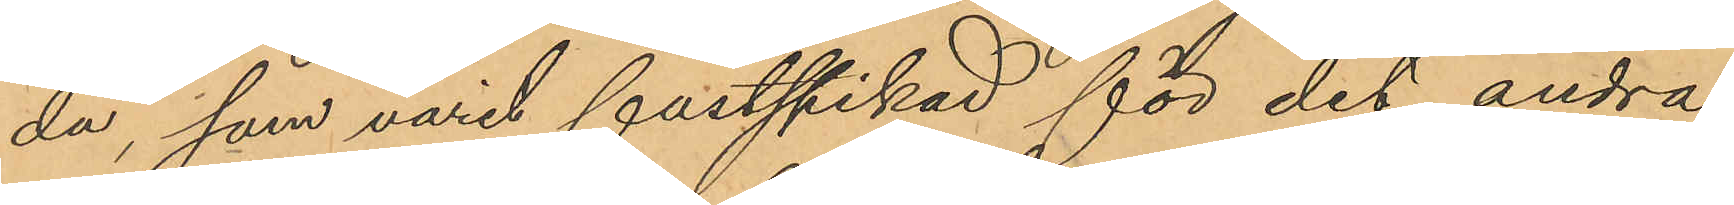da, som varit fastspikad för det andra
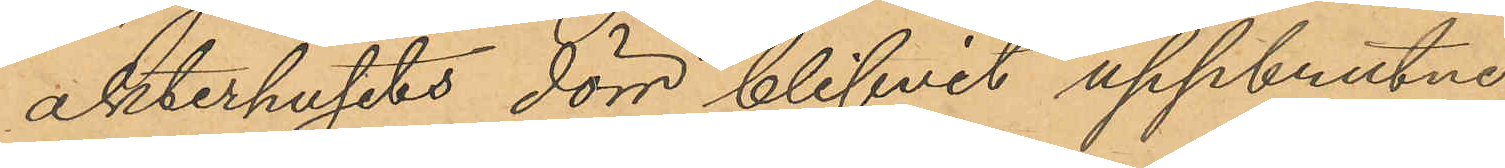akterhusets dörr blifvit uppbrutne.
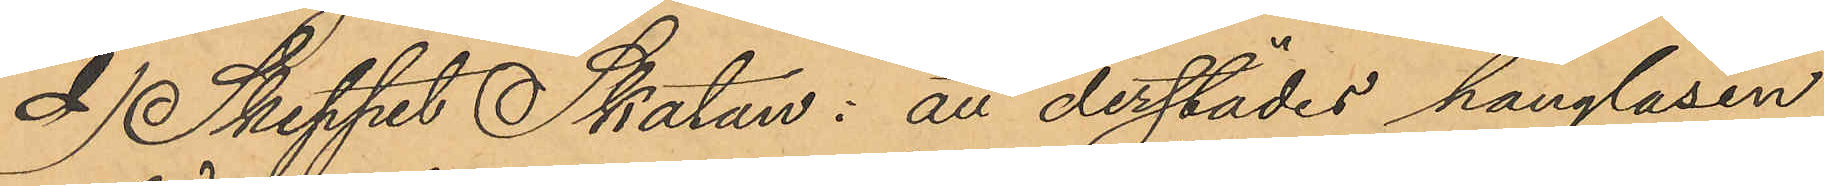d) Skeppet Skatan: att derstädes hänglåsen
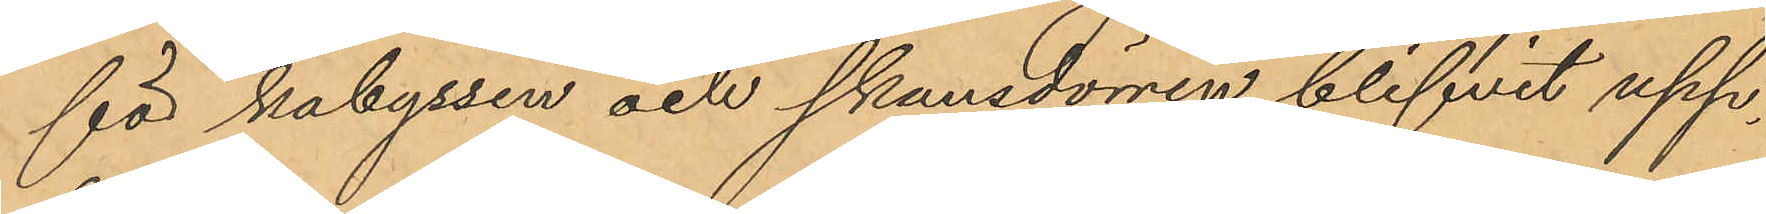för kabyssen och skansdörren blifvit upp¬
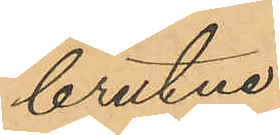brutne;
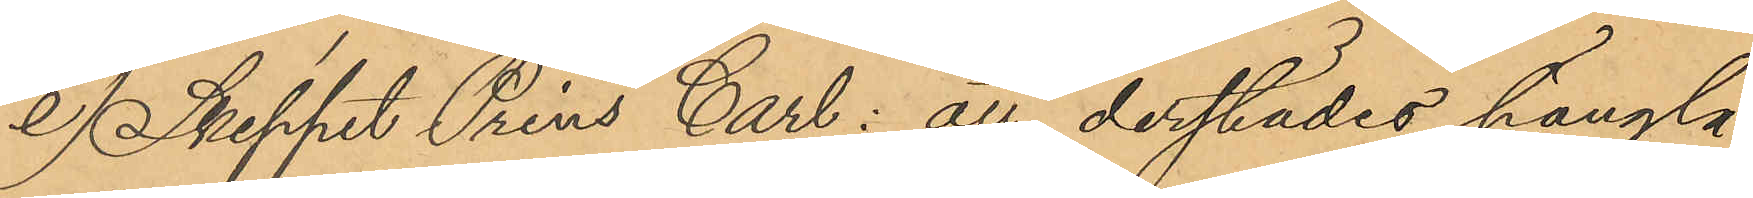e) Skeppet Prins Carl: att derstädes hänglå¬
